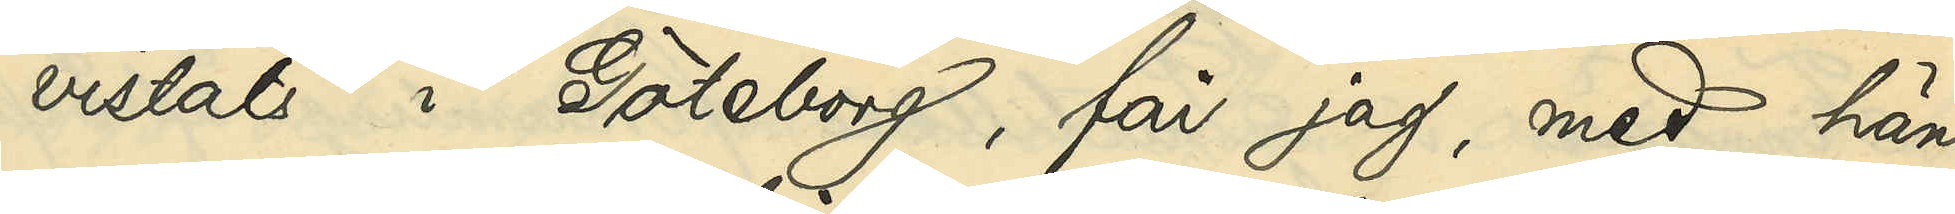vistats i Göteborg, får jag, med hän¬
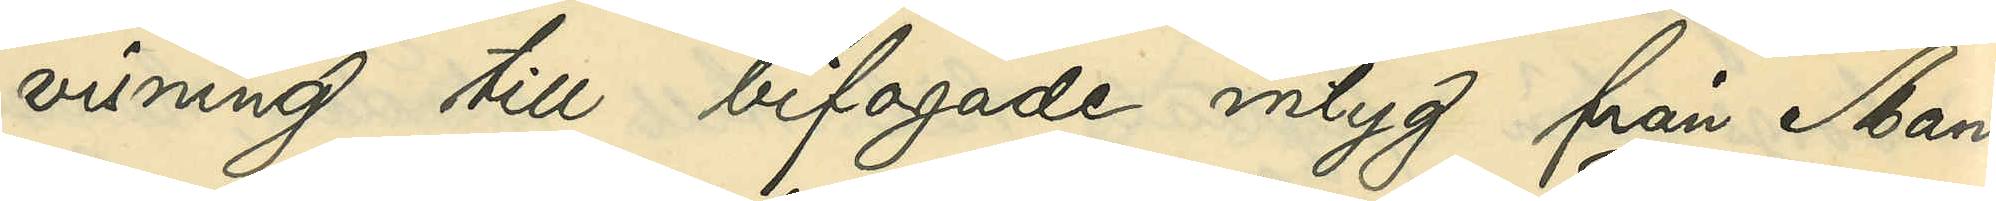visning till bifogade intyg från Man¬
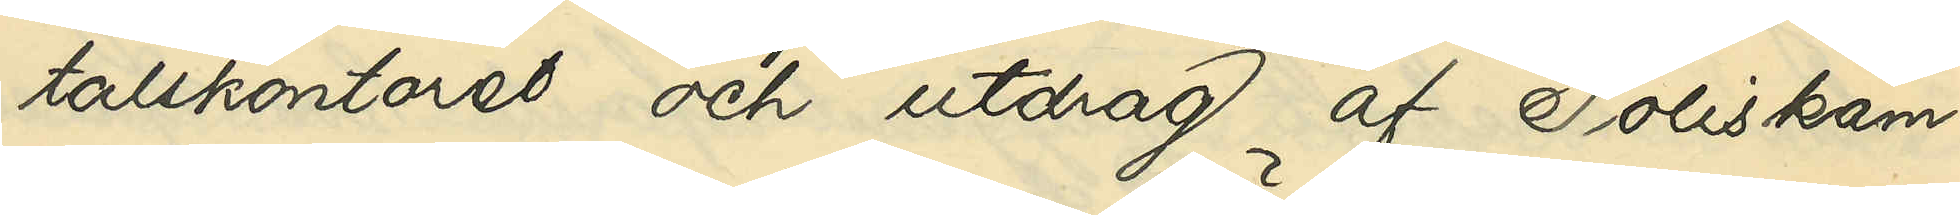taslkontoret och utdrag af Poliskam¬
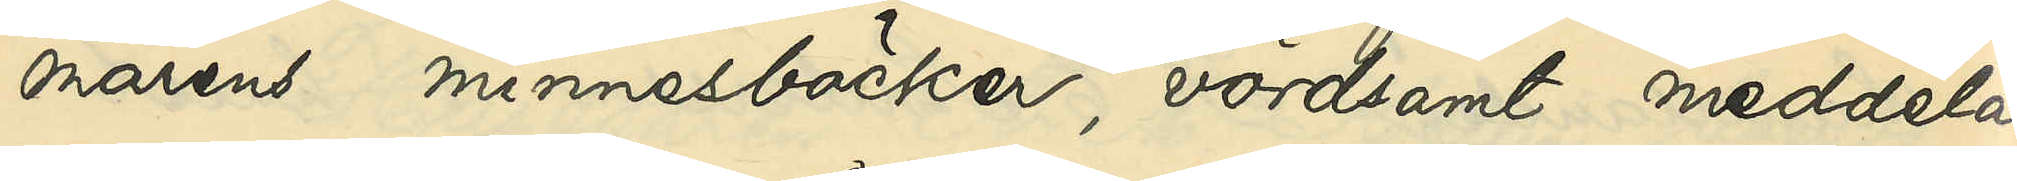marens minnesböcker, vördsamt meddela,
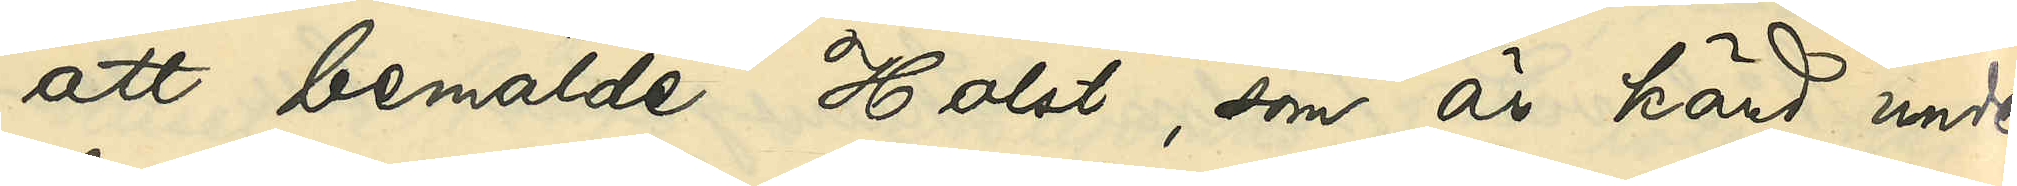att bemälde Holst, som är känd under
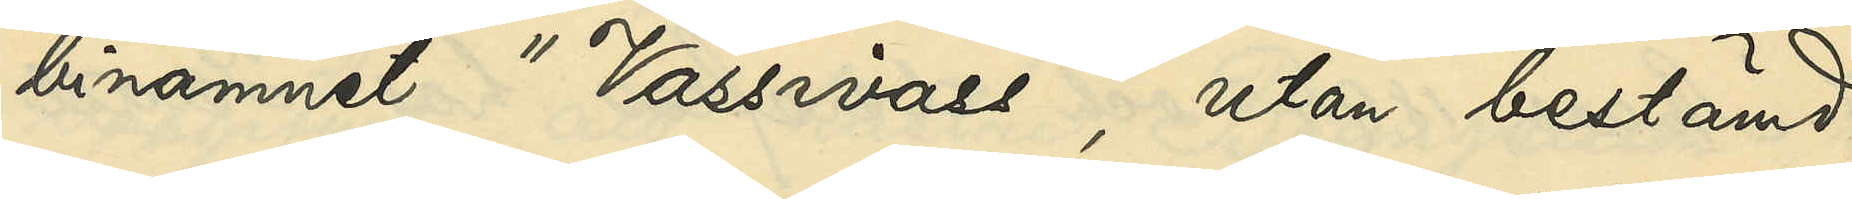binamnet "Vassivass", utan bestämd
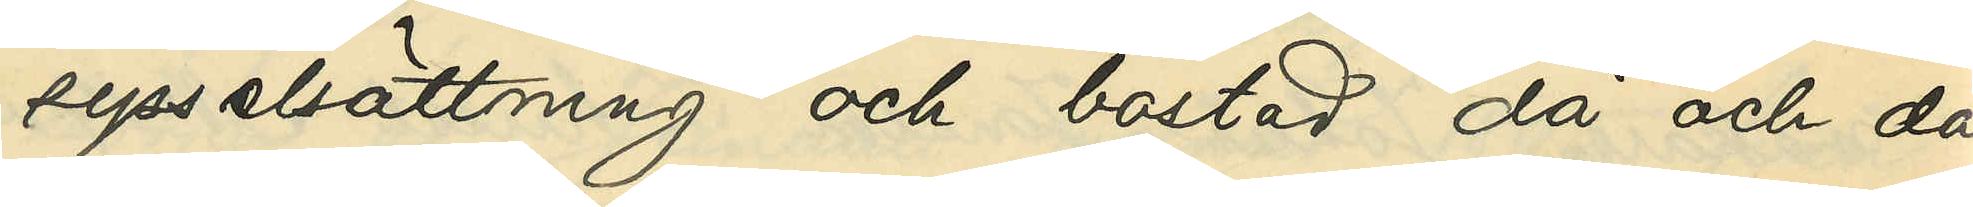sysselsättning och bostad då och då
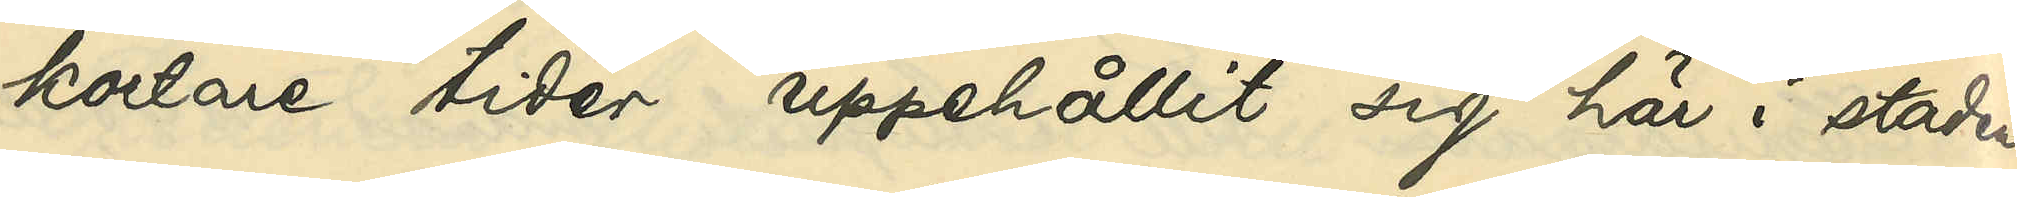kortare tider uppehållit sig här i staden;
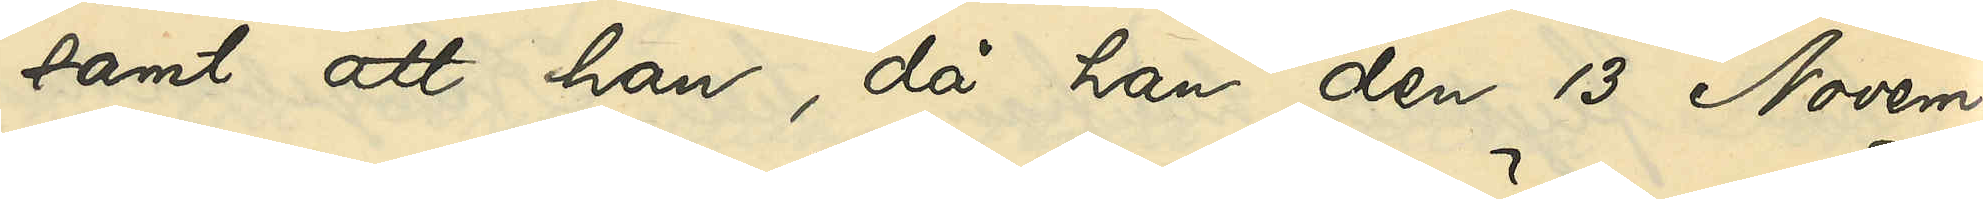samt att han, då han den 13 Novem¬
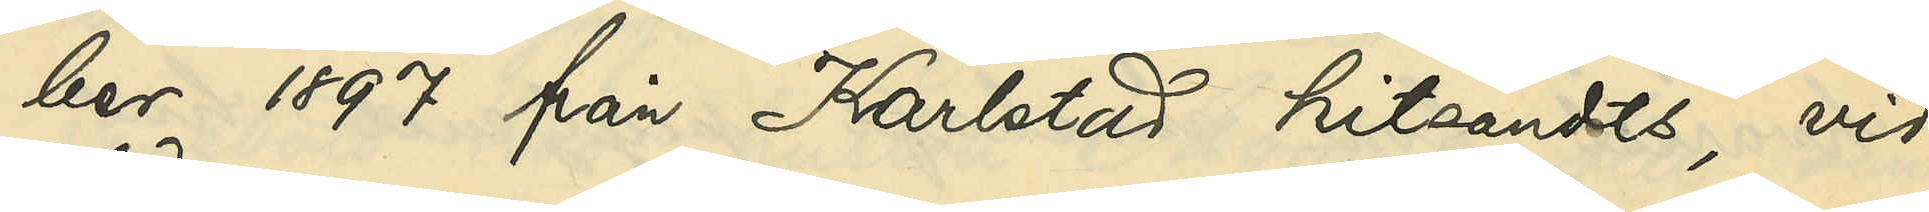ber 1897 från Karlstad hitsändts, vid
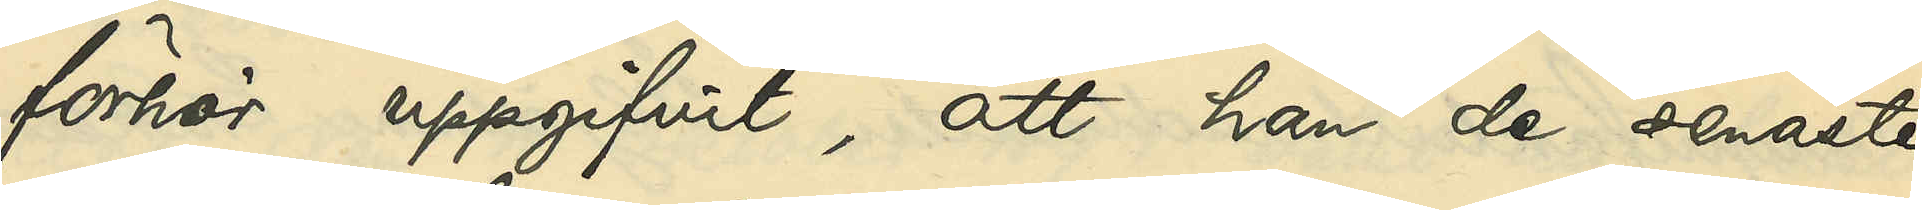förhör uppgifvit, att han de senaste
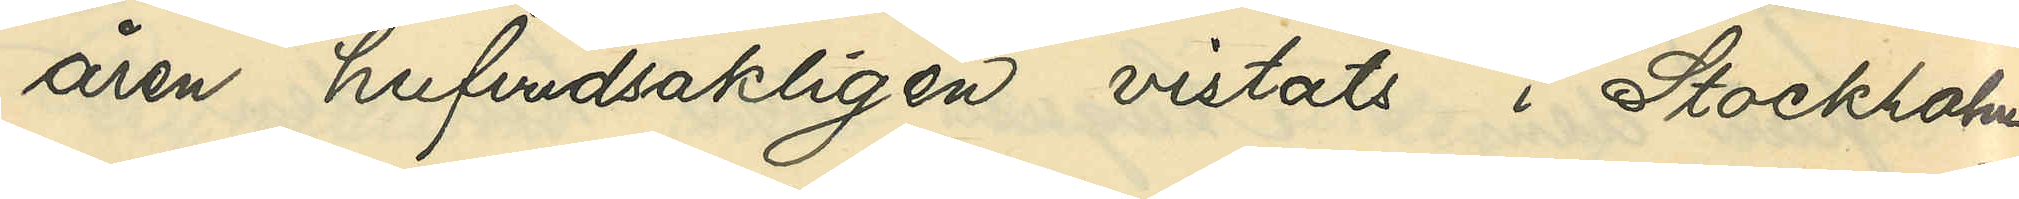åren hufvudsakligen vistats i Stockholm.
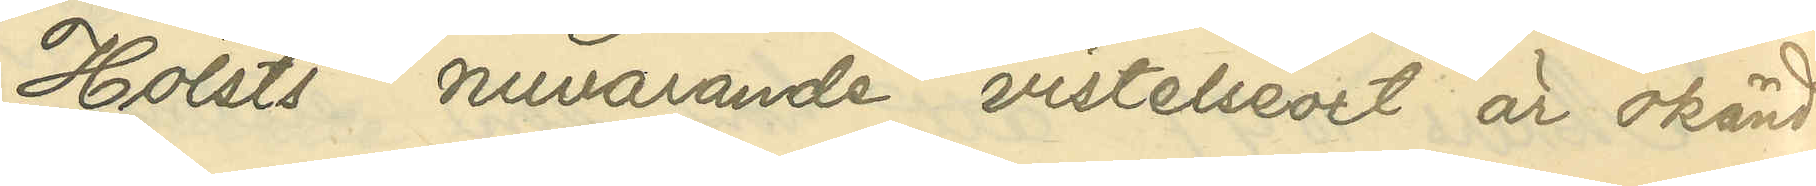Holst nuvarande vistelseort är okänd.
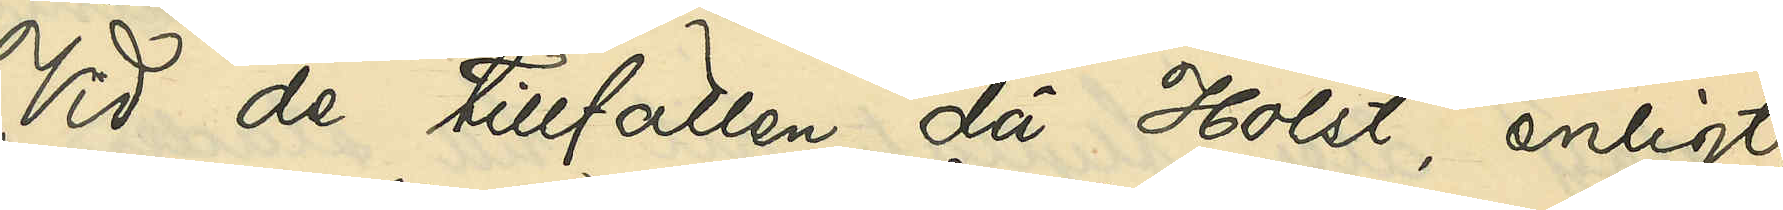Vid de tillfällen då Holst, enligt
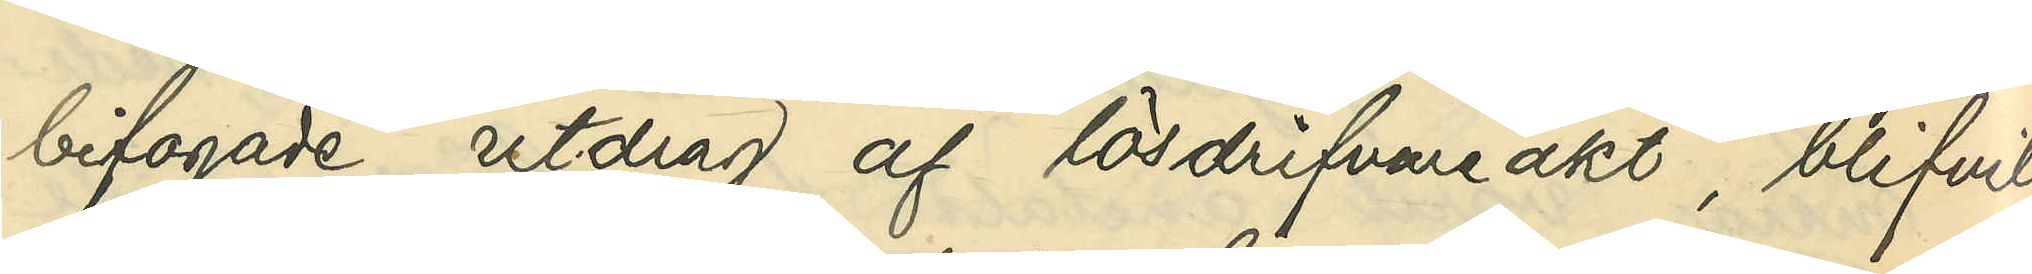bifogade utdrag af lösdrifvareakt, blifvit
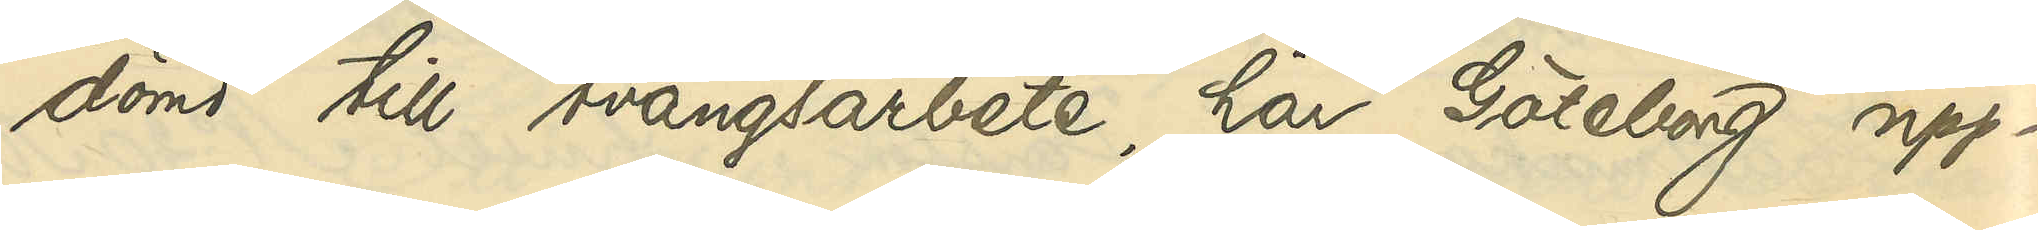dömd till tvångsarbete, har Göteborg upp¬
